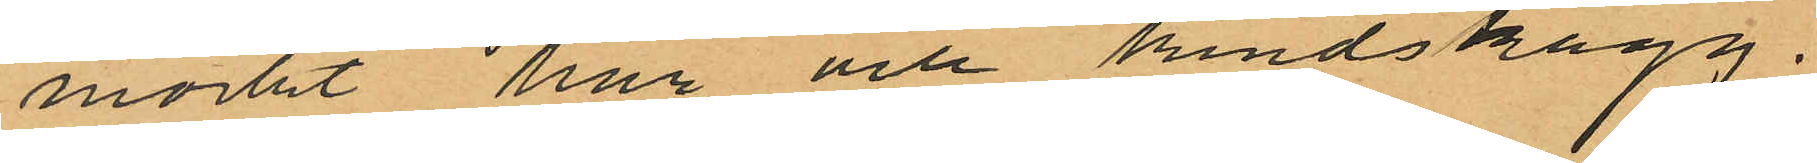mörkt hår och kindskägg.
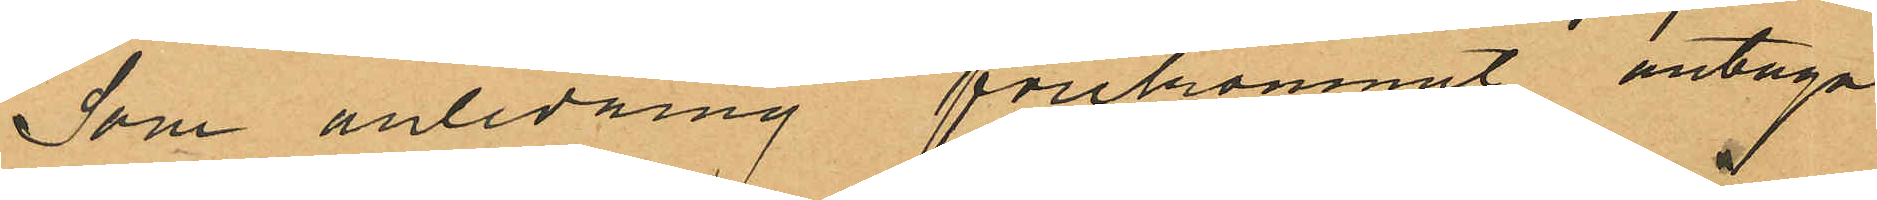Som anledning förekommit antaga
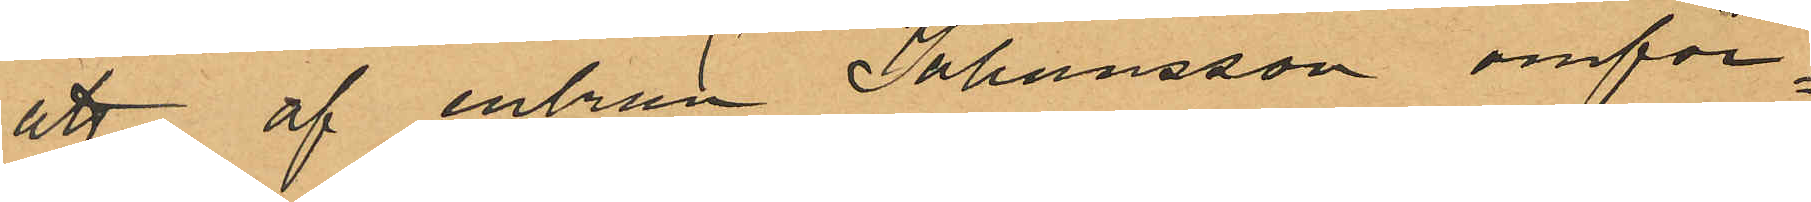att af enkan Johansson omför¬
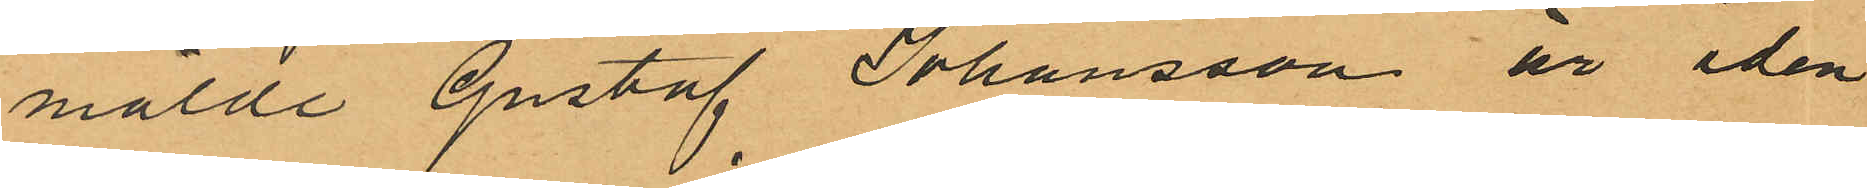mälde Gustaf Johansson är iden
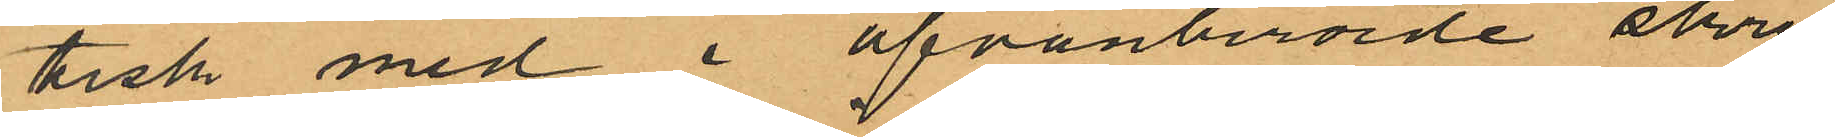tisk med i ofvanberörde skrif
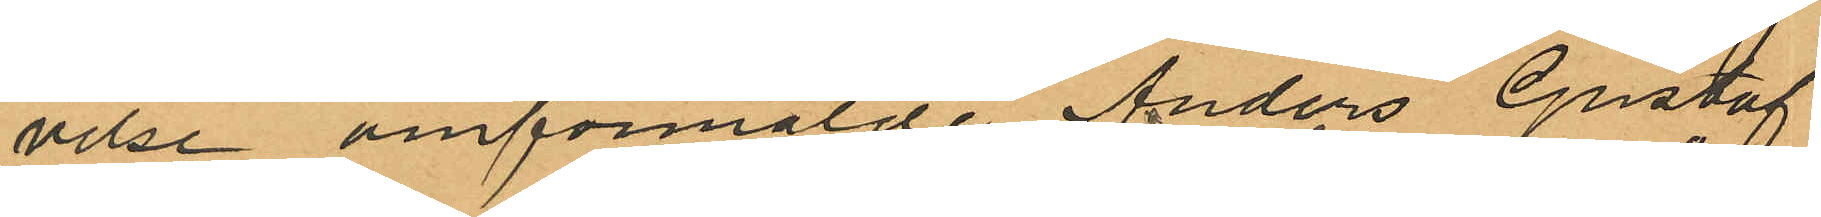velse omförmälde Anders Gustaf
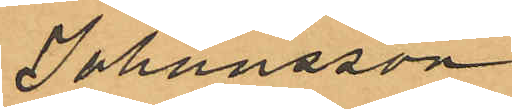Johansson
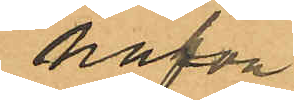hafva
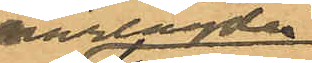närlagde
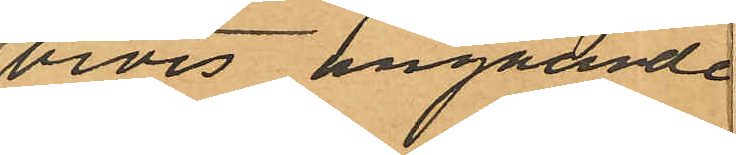bevis angående
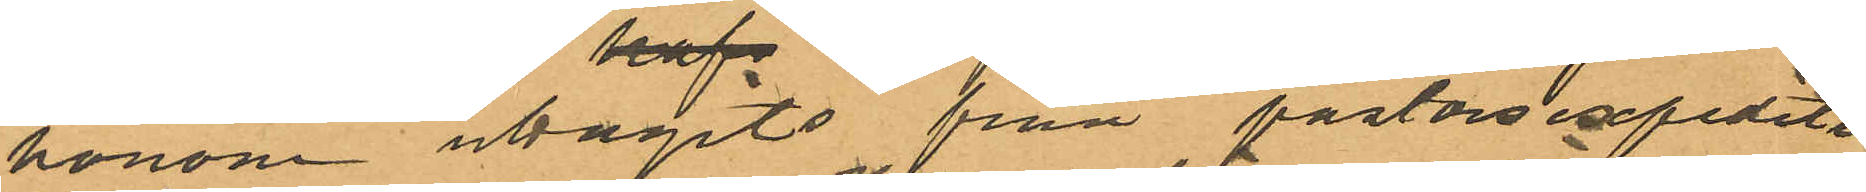honom uttagits från pastorsexpedite
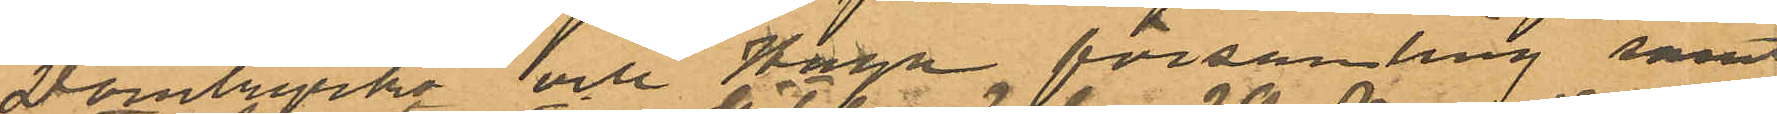Domkyrko och Haga församling samt
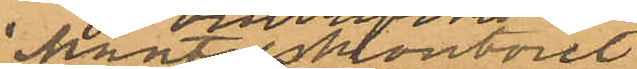Mantalskontoret.
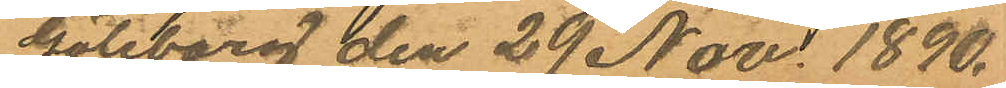Göteborg den 29 Nov 1890.
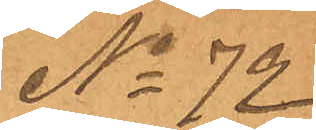No 72
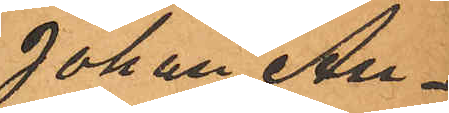Johan An¬
